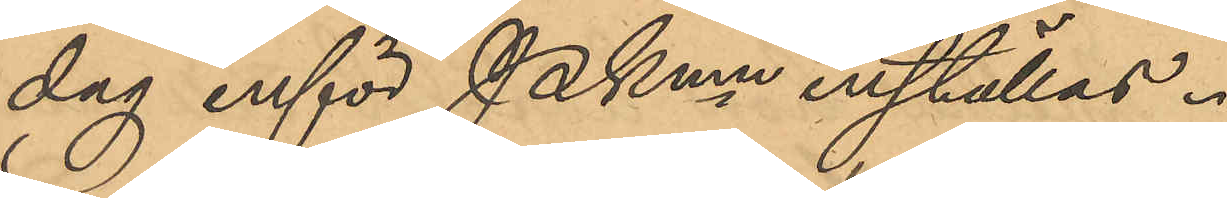dag inför Pkmn inställas.
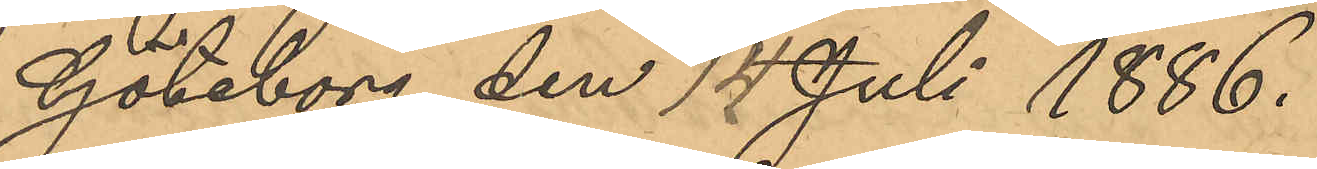Göteborg den 14 Juli 1886.
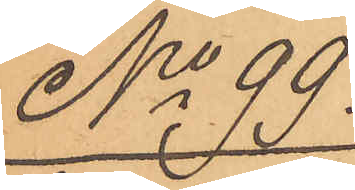No 99.
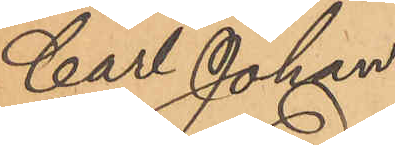Carl Johan
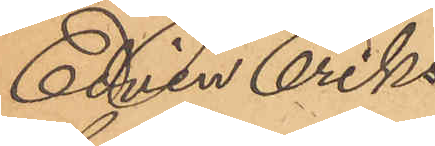Edvin Eriks¬
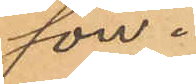son.
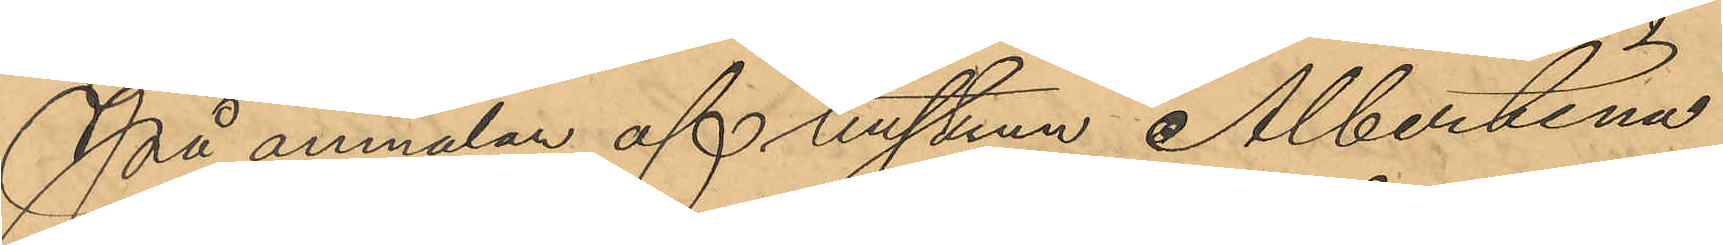På anmälan af hustrun Albertina
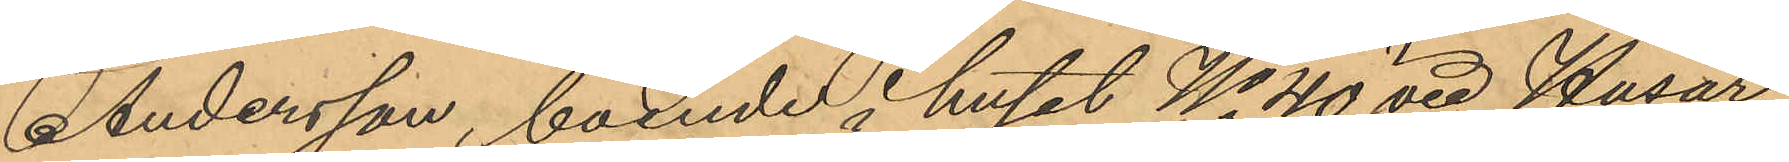Andersson, boende i huset No 40 vid Husar¬
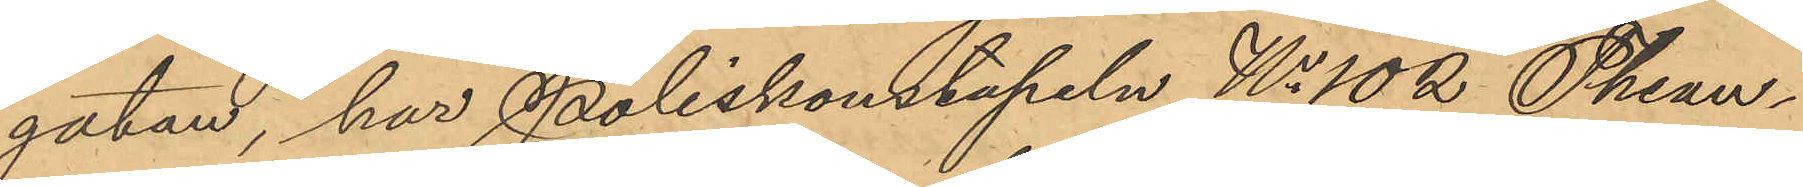gatan, har Poliskonstapeln No 102 Thean¬
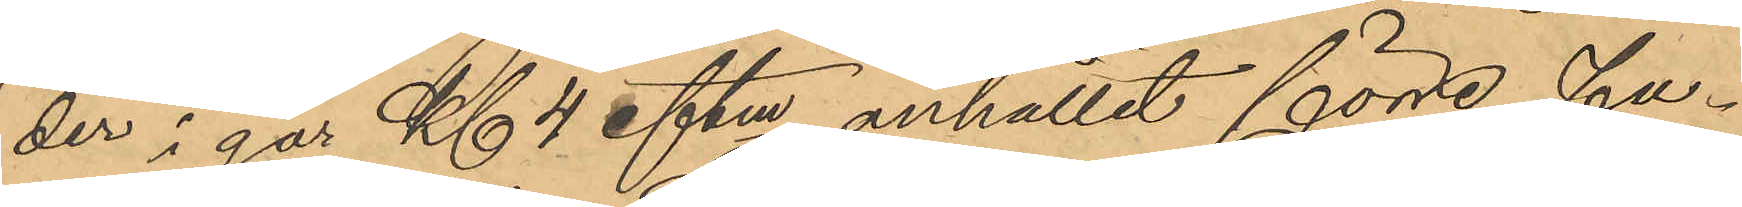der i går Kl 4 eftm anhållit förre Fa¬
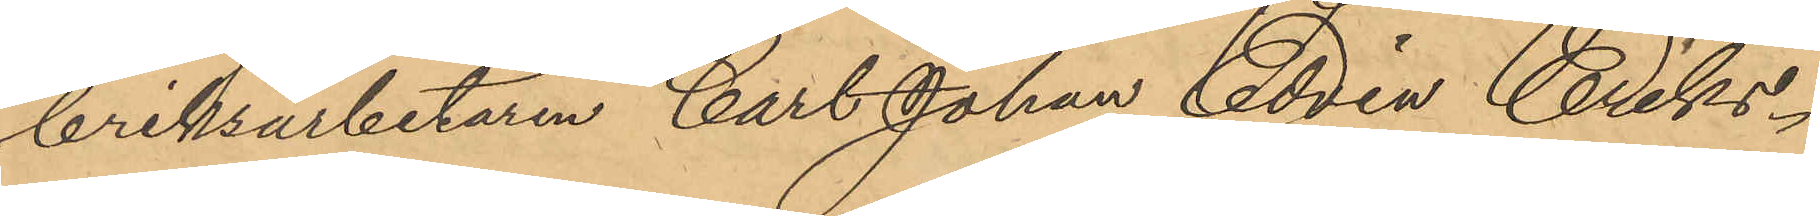briksarbetaren Carl Johan Edvin Eriks¬
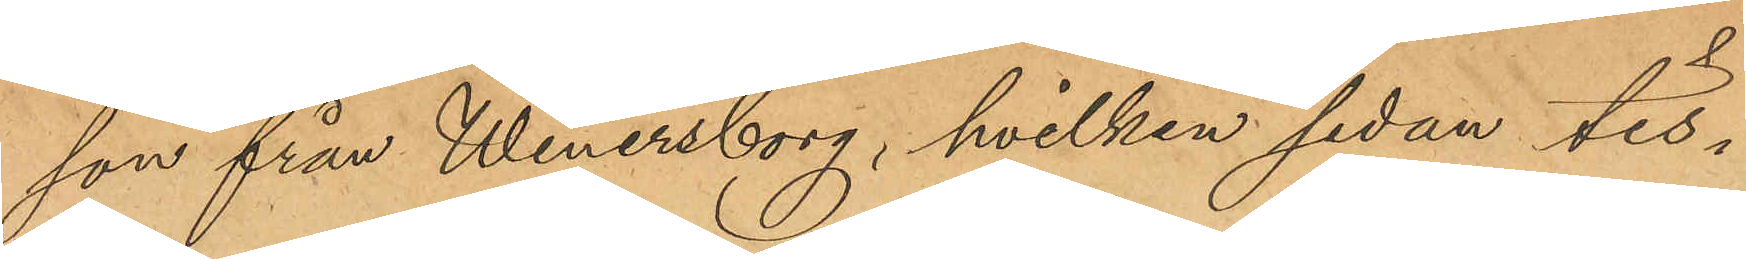son från Wenersborg, hvilken sedan tis¬
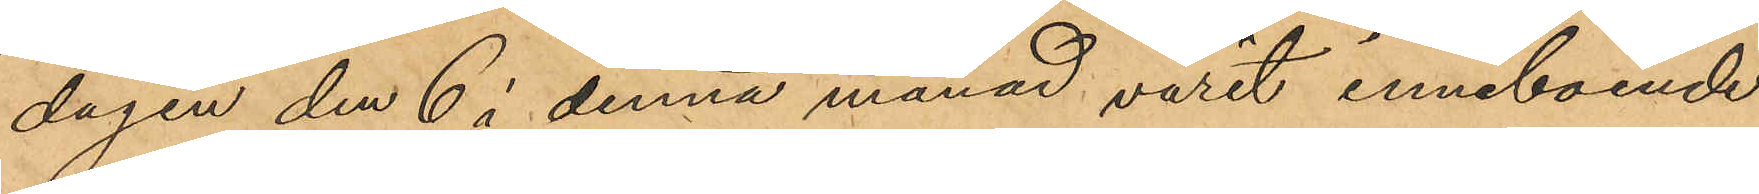dagen den 6 i denna månad varit inneboende
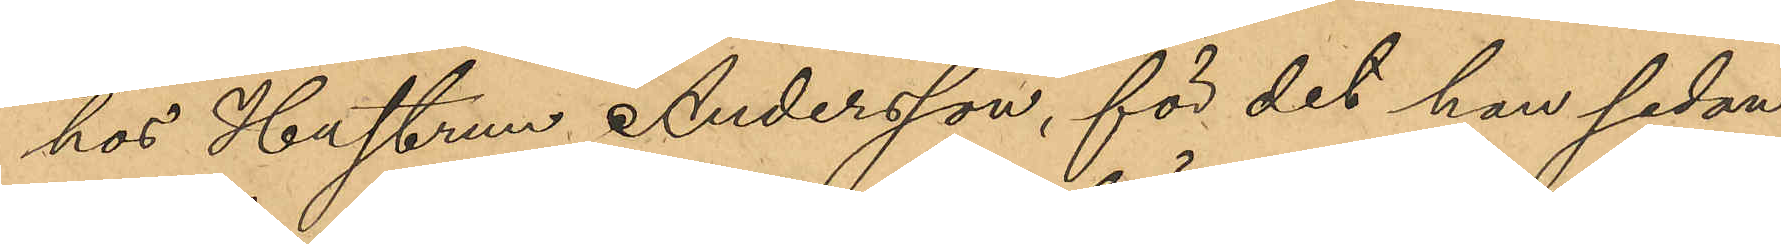hos Hustrun Andersson, för det han sedan
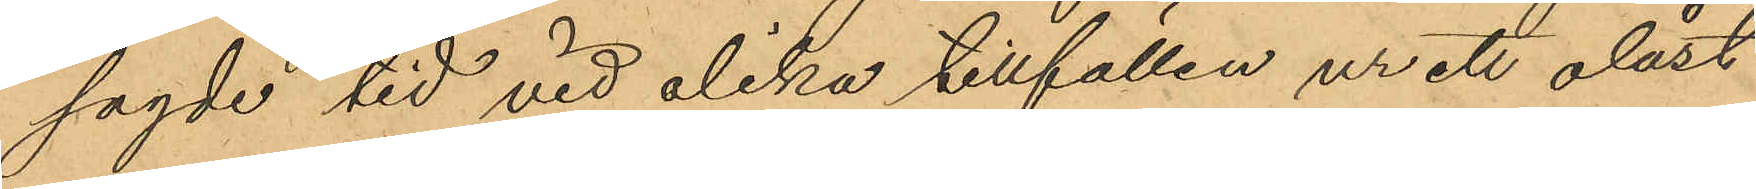sagde tid vid olika tillfällen ur ett olåst
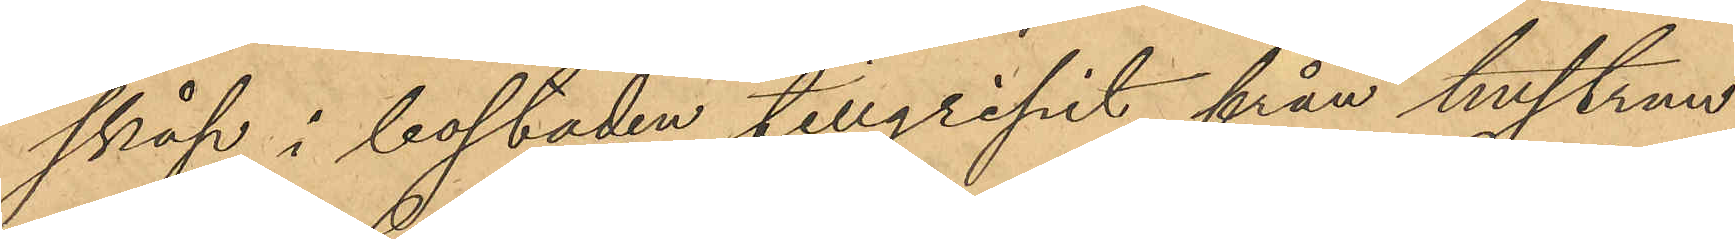skåp i bostaden tillgripit från hustrun
